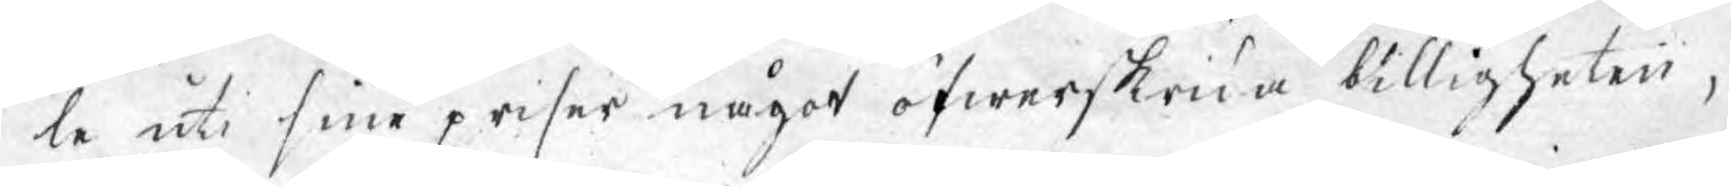le uti sine priser något öfwerskrida billigheten,
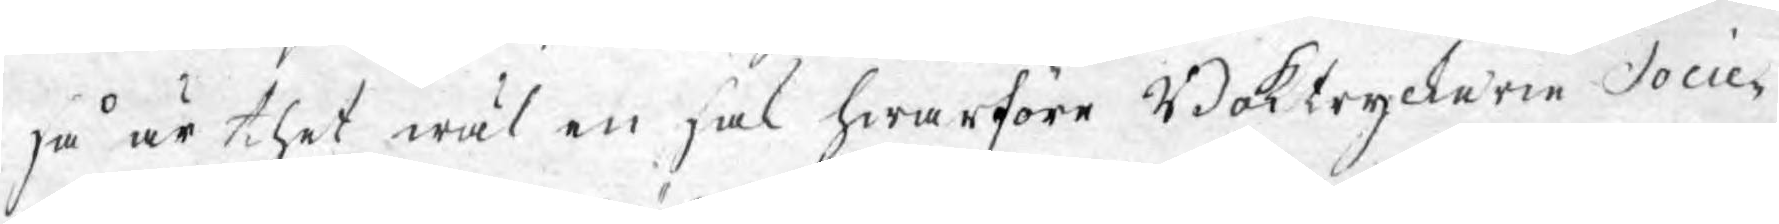så är thet wäl en sak hwarföre Boktryckerie Socie¬
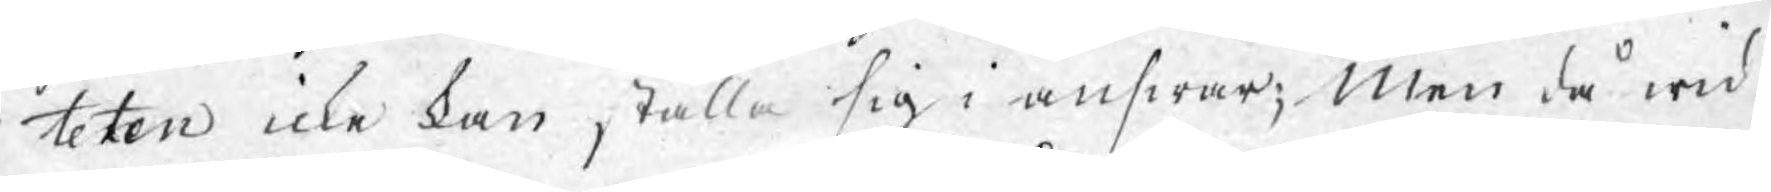teten icke kan ställa sig i answar; Men då wid
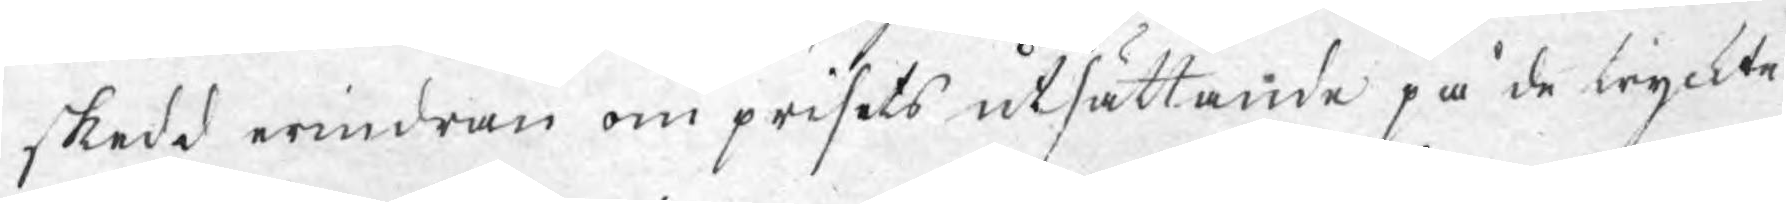skedd erindran om prisets utsättande på de tryckte
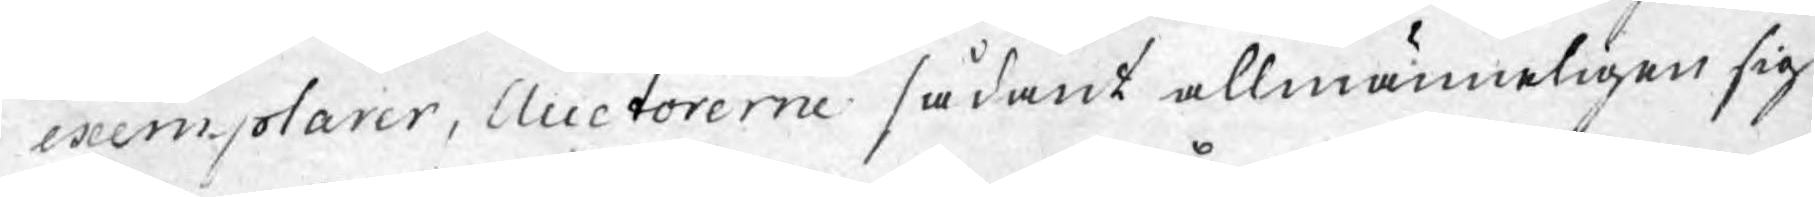exemplarer, Auctorerne sådant allmänneligen sig
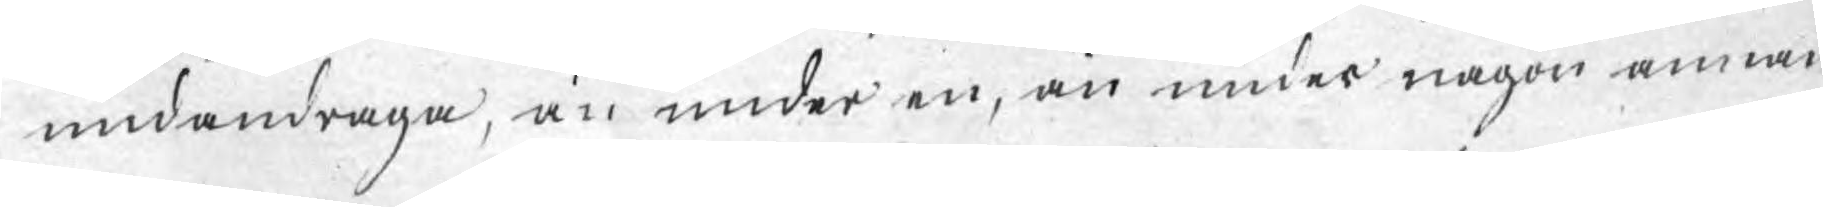undandraga, än under en, än under någon annan
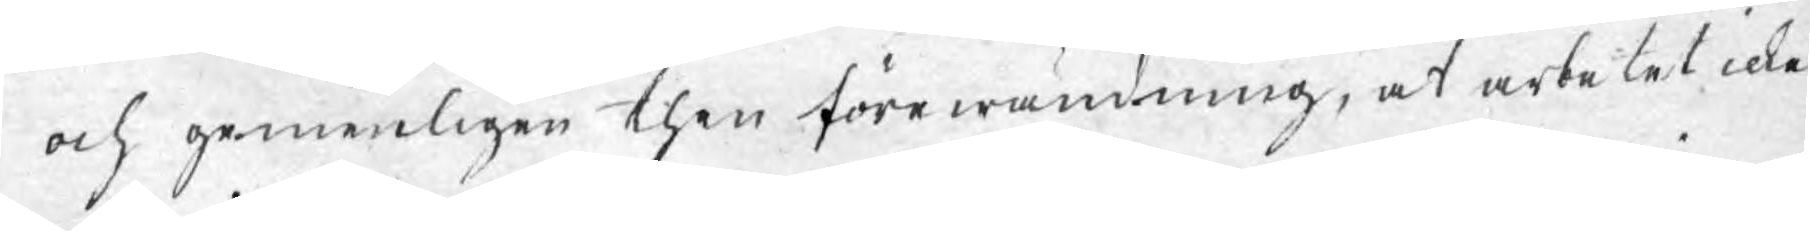och gemenligen then förewändning, at arbetet icke
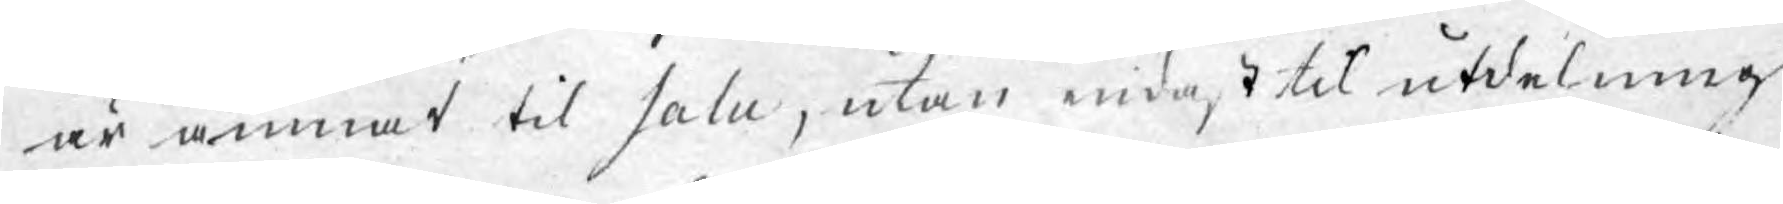är ämnat til salu, utan endast til utdelning
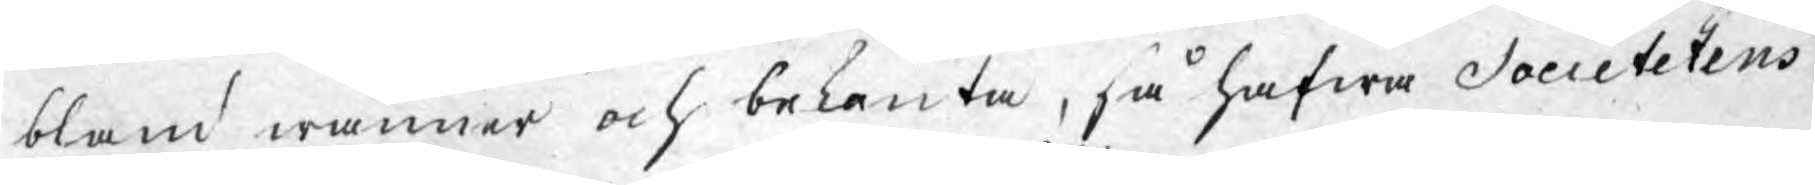bland wänner och bekanta, så hafwa Societetens
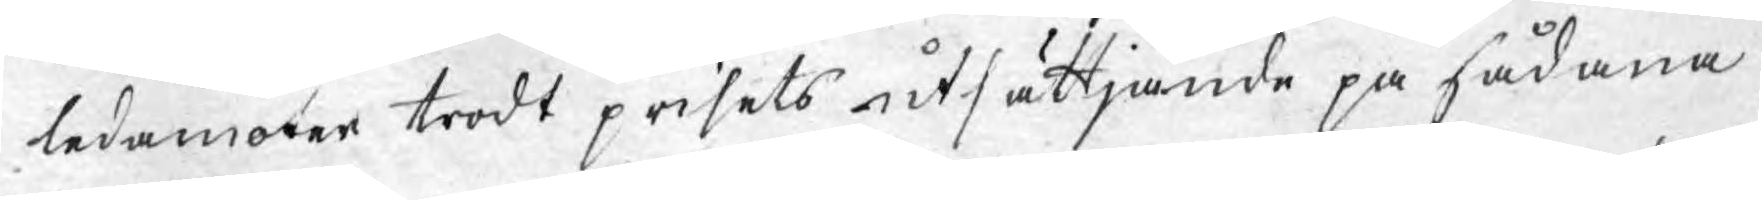ledamöter trodt prisets utsättande på sådana
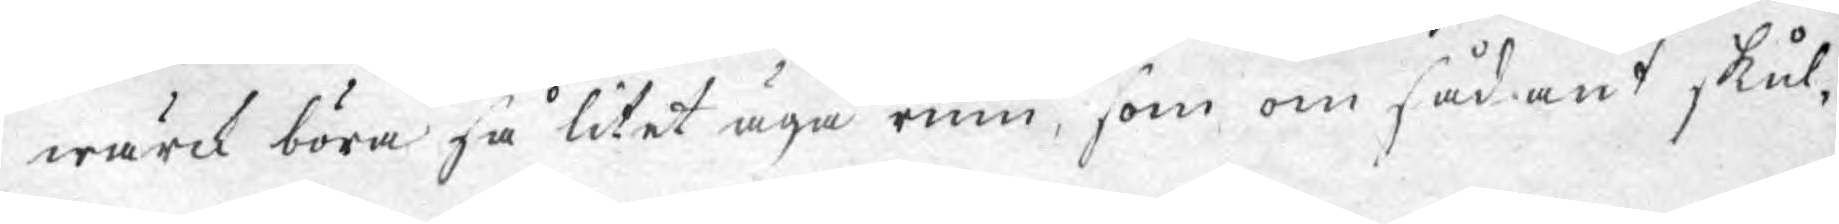wärck böra så litet äga rum, som om sådant skul¬
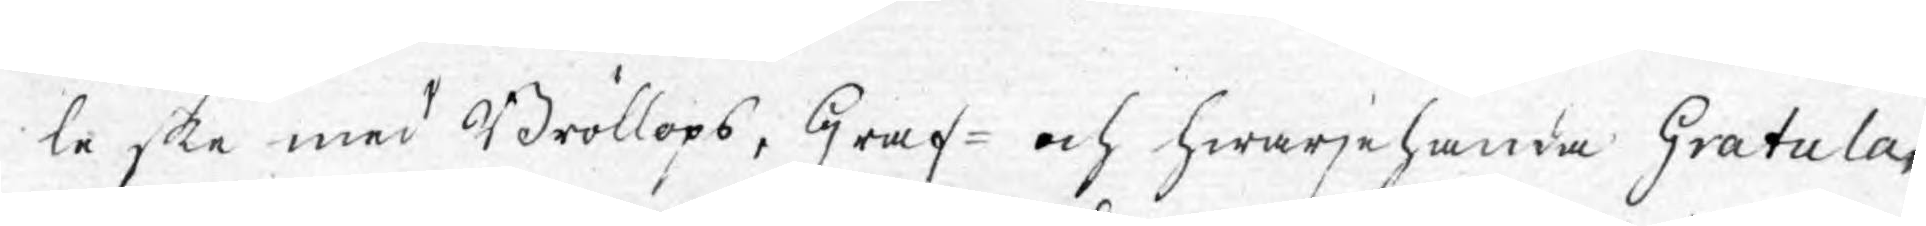le ske med Bröllops, Graf- och hwarjehanda Gratula¬
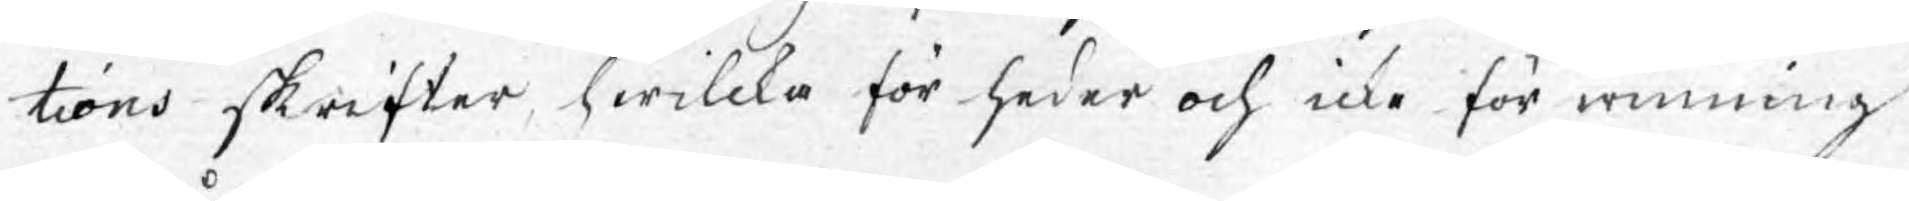tions skrifter, hwilcka för heder och icke för winning
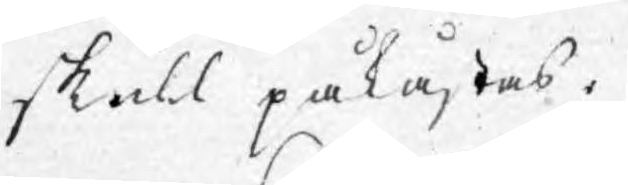skull påkostas.
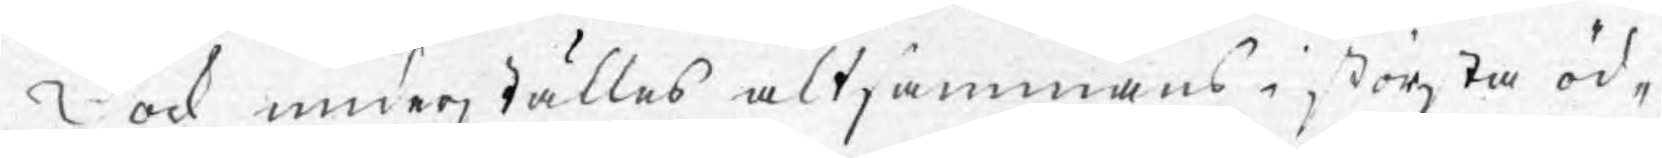Dock underställes altsammans i största öd¬
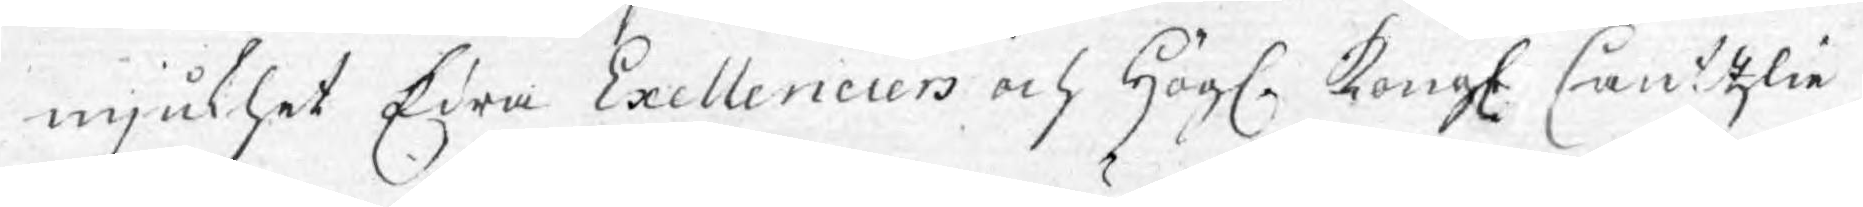mjukhet Edra Exellenciers och Högl. Kongl. Cantzlie
